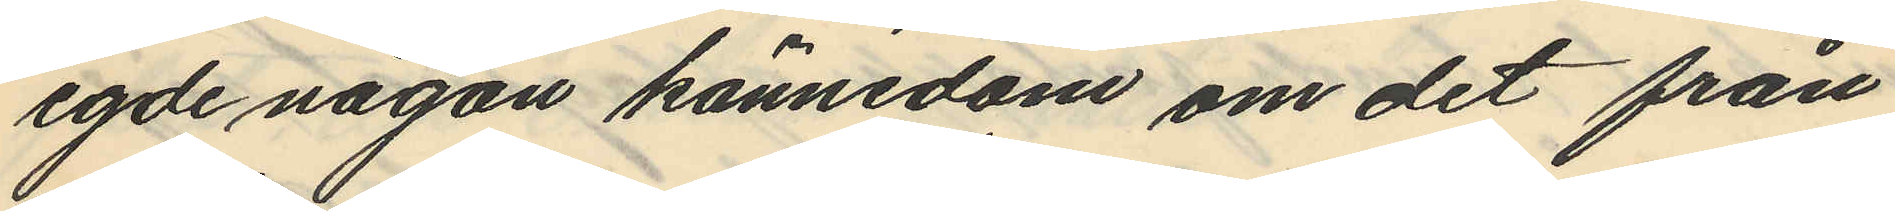egde någon kännedom om det från
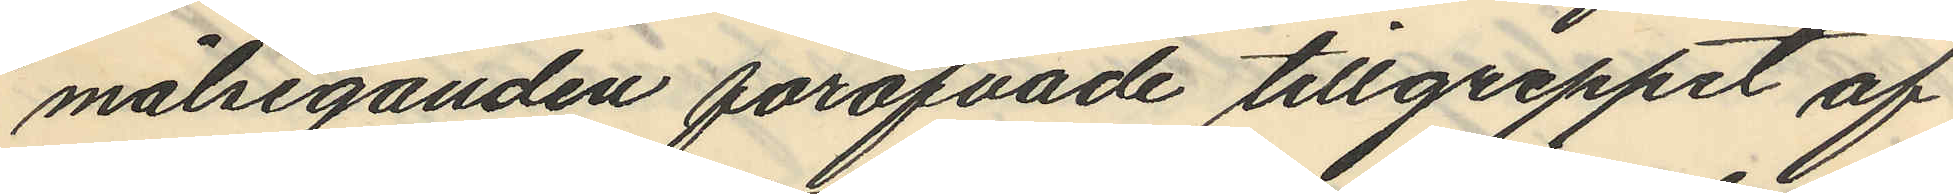målseganden föröfvade tillgreppet af
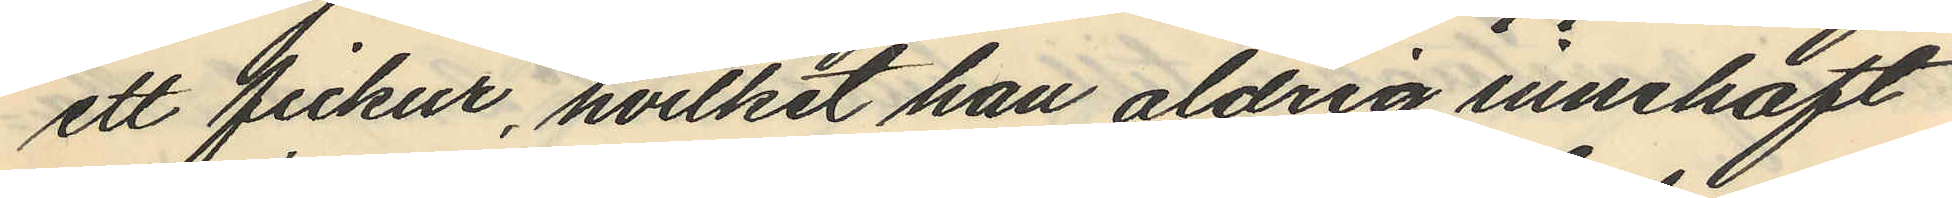ett fickur, hvilket han aldrig innehaft
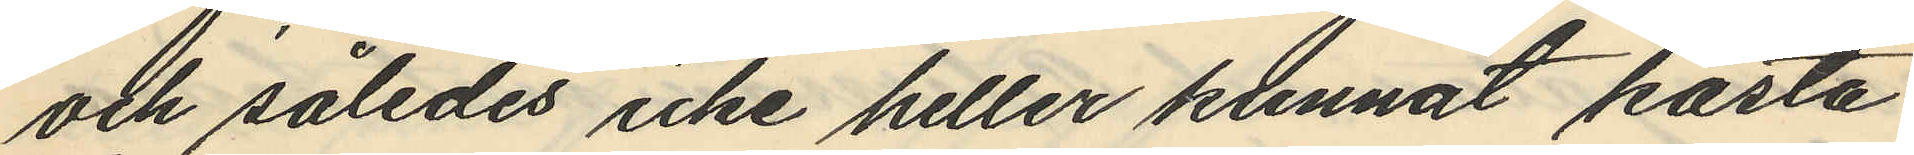och således icke heller kunnat kasta
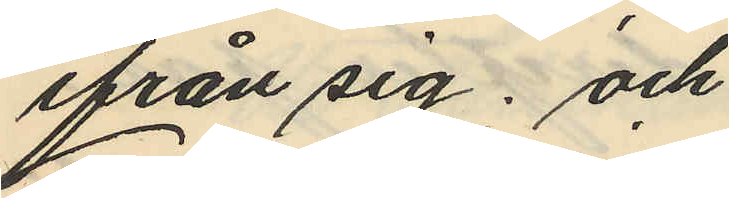ifrån sig; och
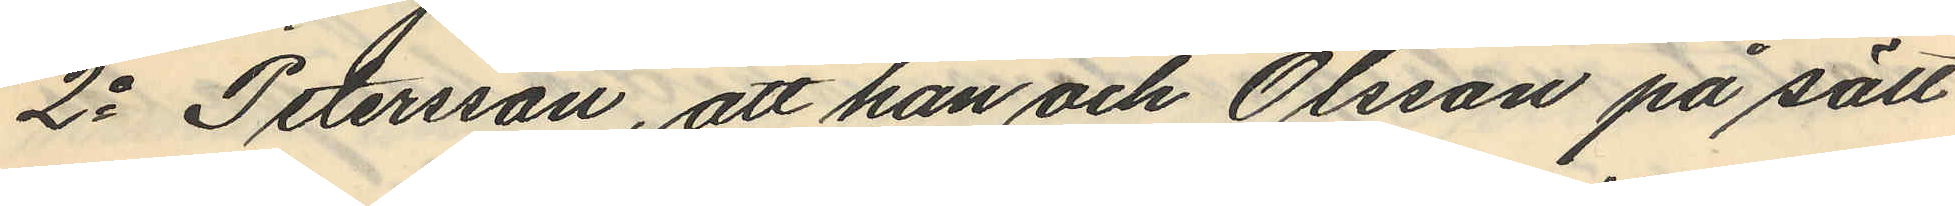2o Petersson, att han och Olsson på sätt
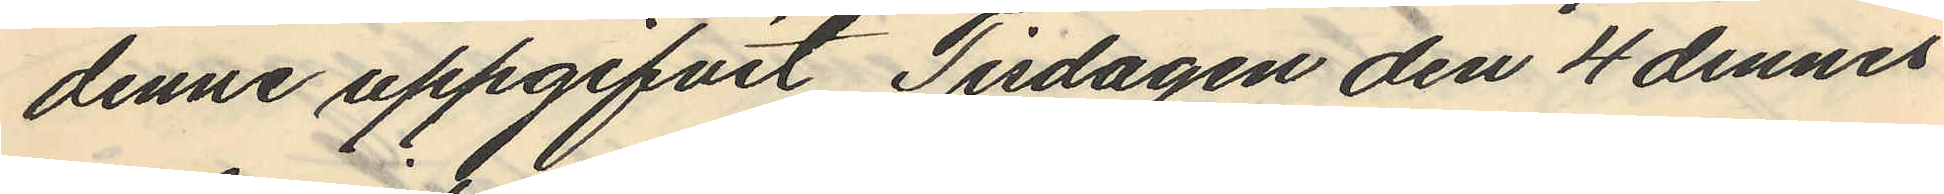denne uppgifvit Tisdagen den 4 dennes
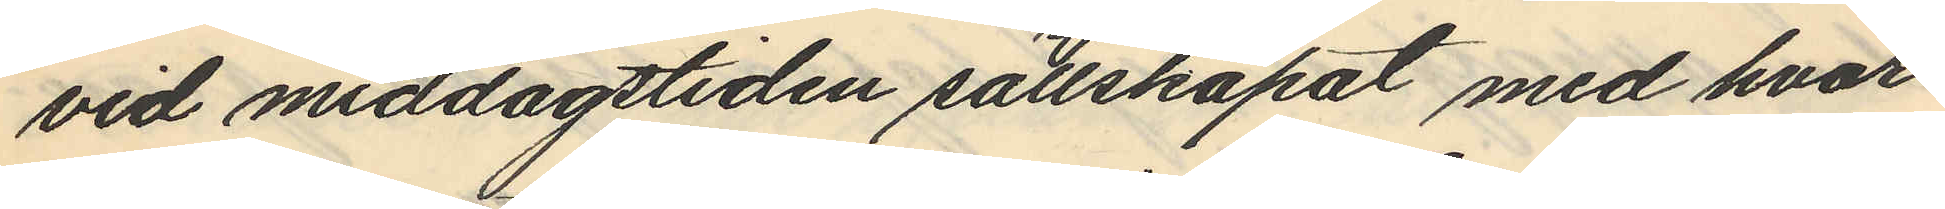vid middagstiden sällskapat med hvar¬
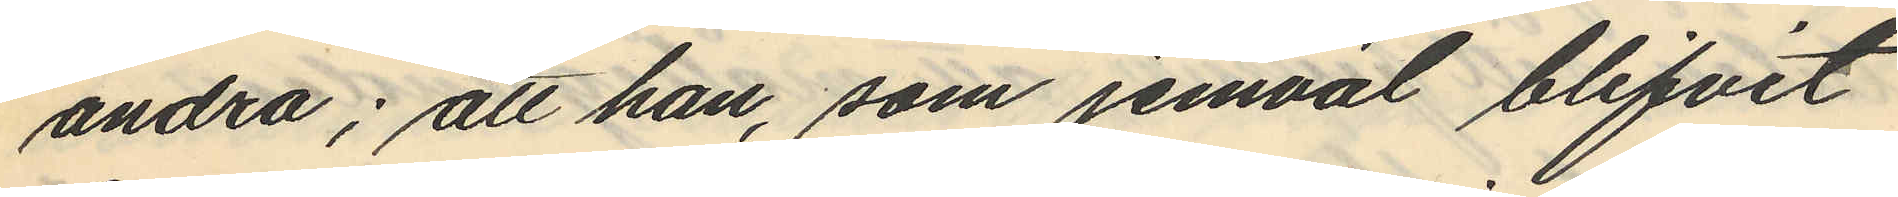andra; att han, som jemväl blifvit
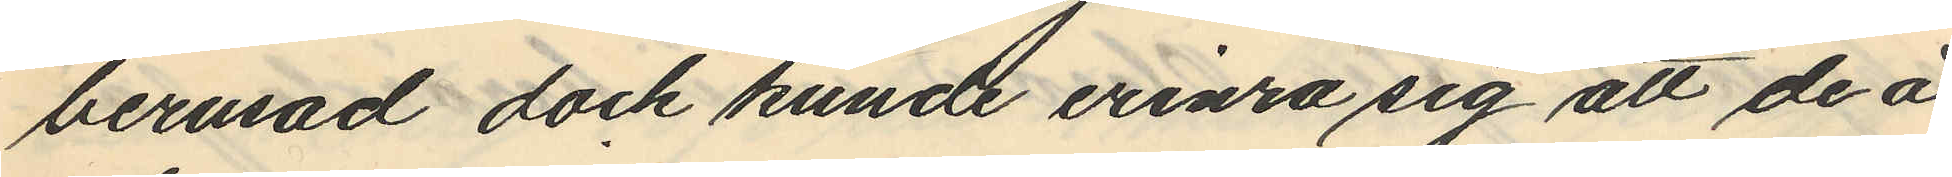berusad dock kunde erinra sig att de å
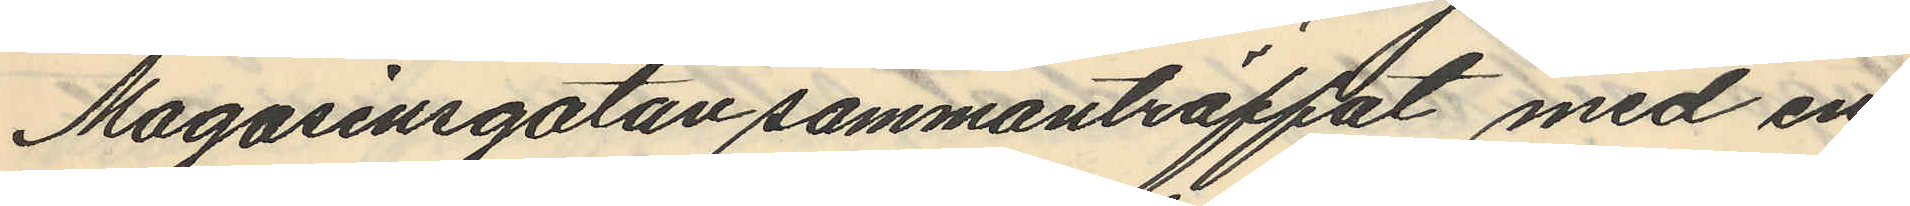Magasinsgatan sammanträffat med en
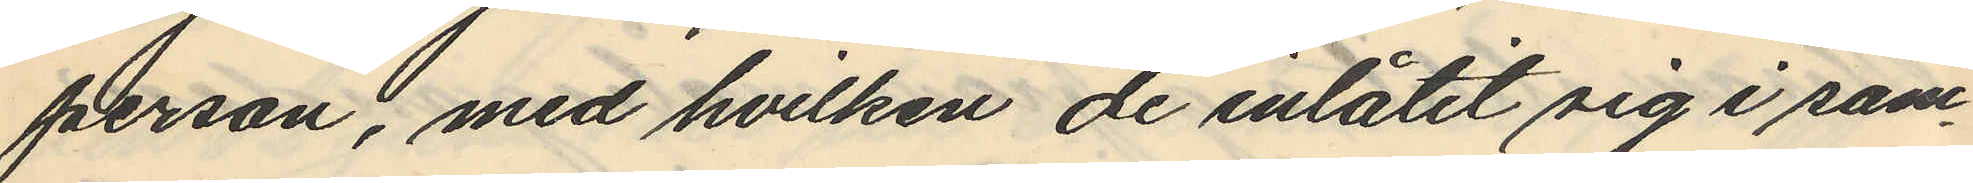person, med hvilken de inlåtit sig i sam¬
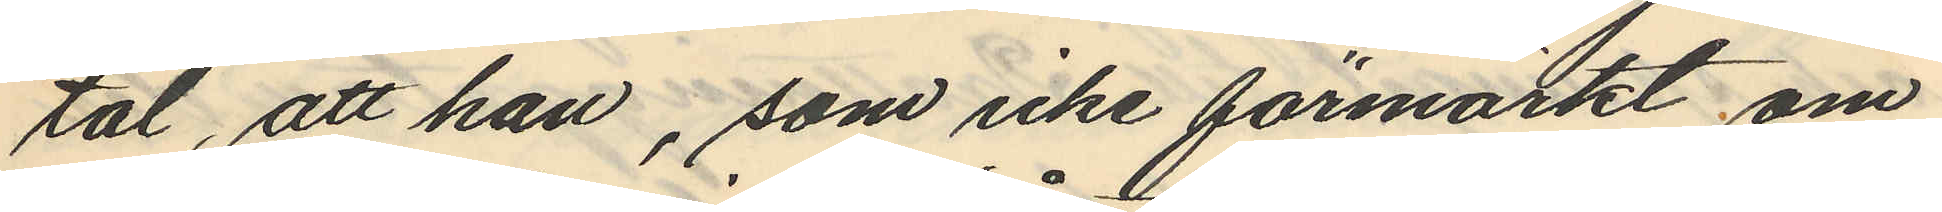tal, att han, som icke förmärkt om
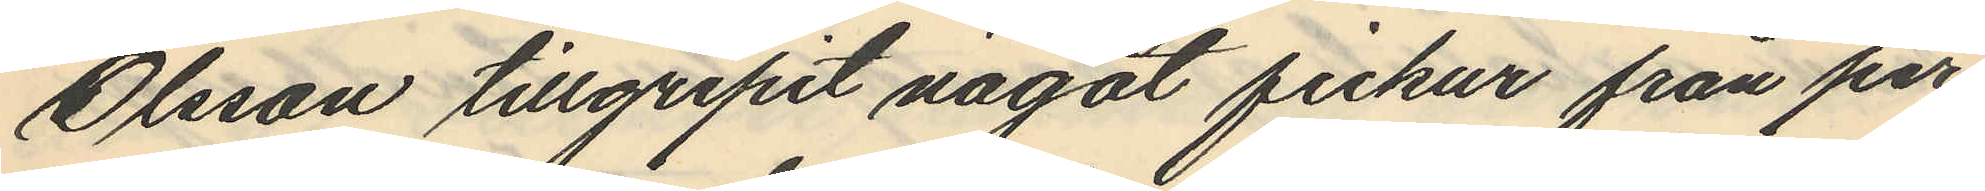Olsson tillgripit något fickur från per¬
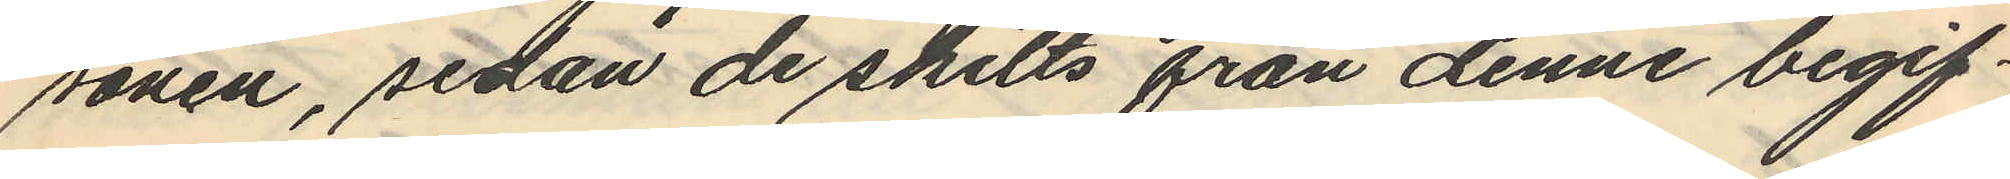sonen, sedan de skilts från denne begif¬
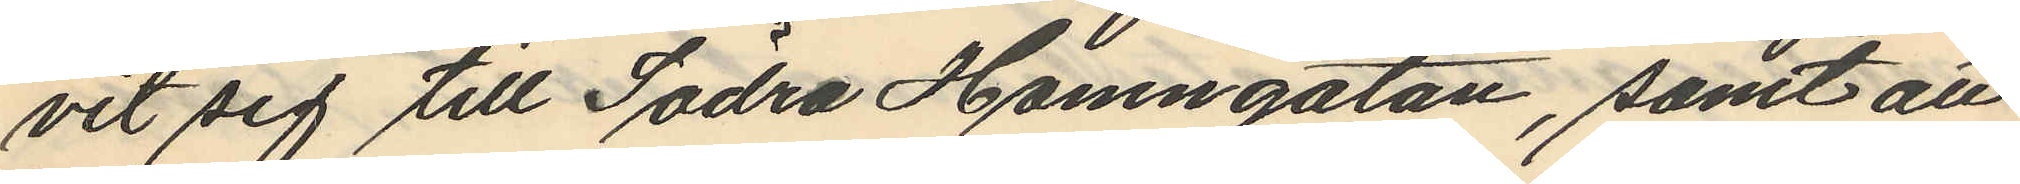vit sig till Södra Hamngatan, samt att
